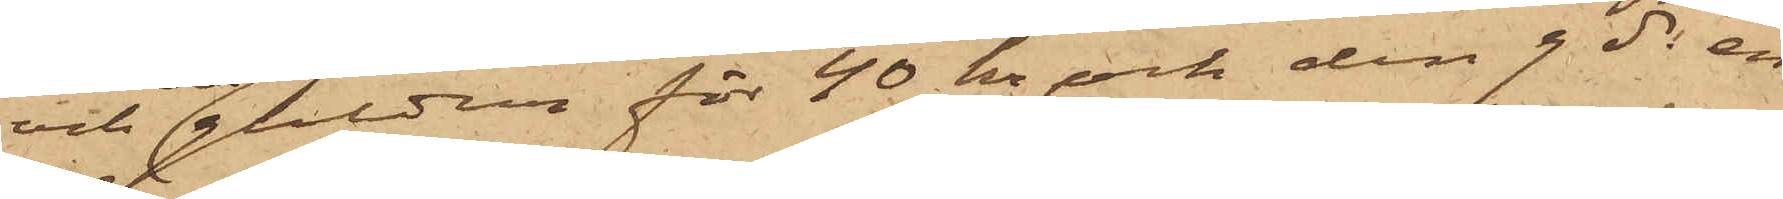och ett guldur för 40 kr och den 9 ds en
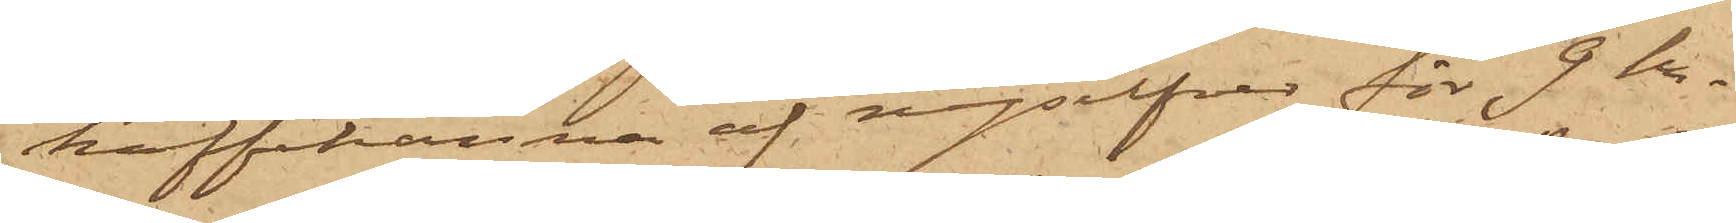kaffekanna af nysilfver för 7 kr,
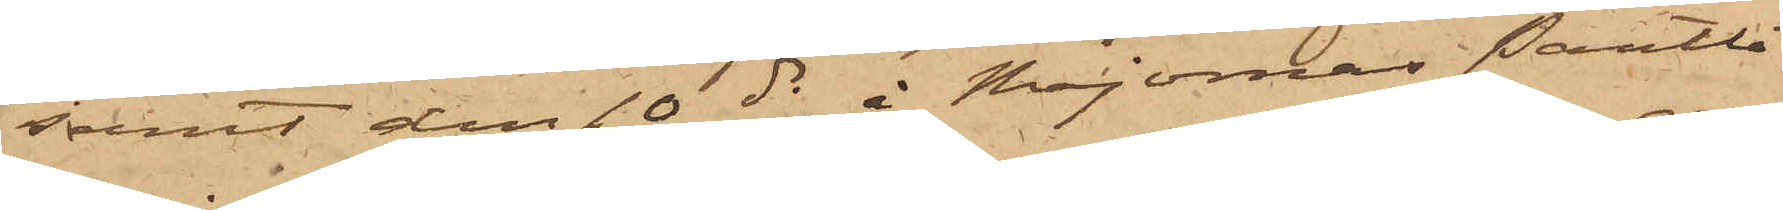samt den 10 ds å Majornas Pantlå¬
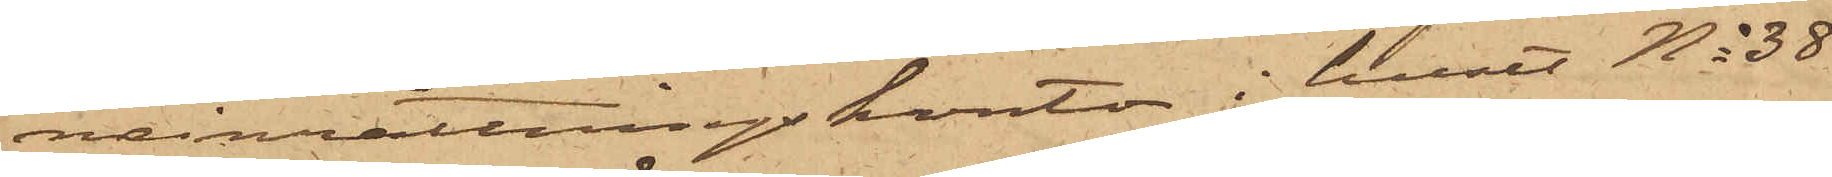neinrättningskontor i huset No 38
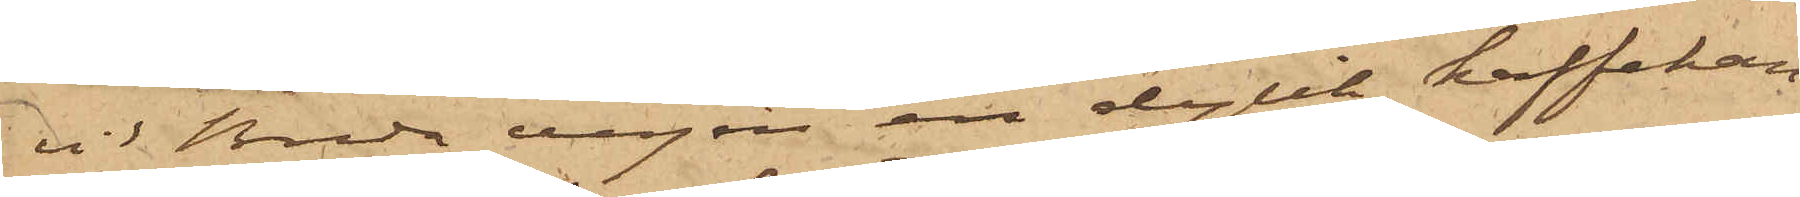vid Breda vägen en dylik kaffekan¬
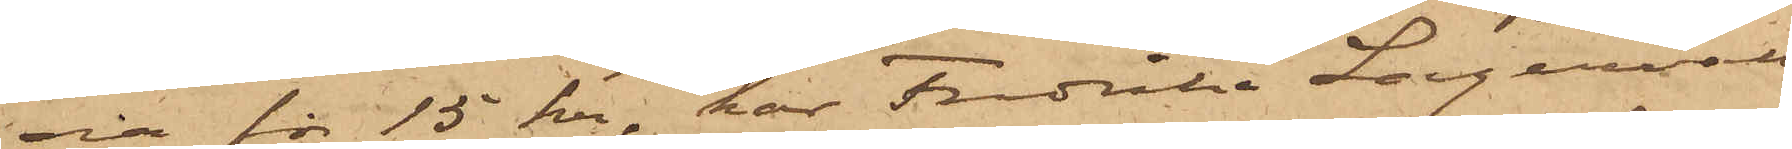na för 15 kr, har Fredrika Lagervall
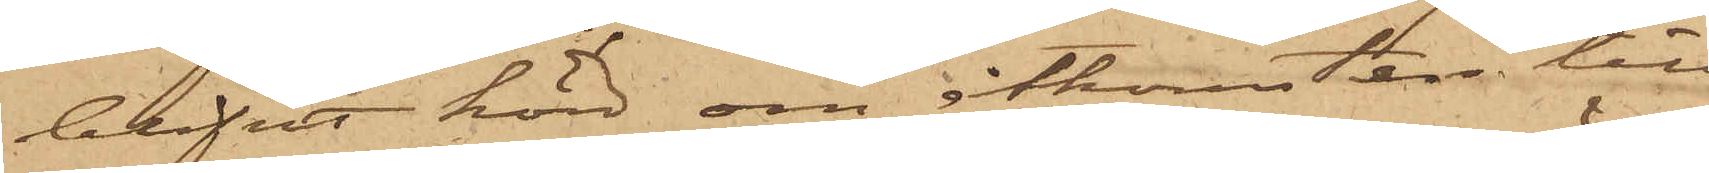blifvit hörd om åtkomsten till
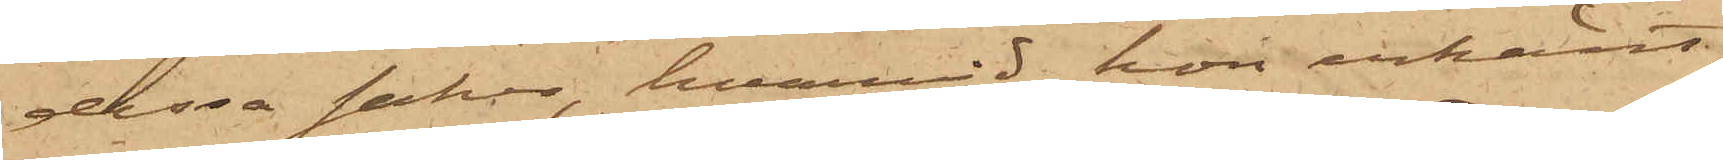dessa saker, hvarvid hon erkänt;
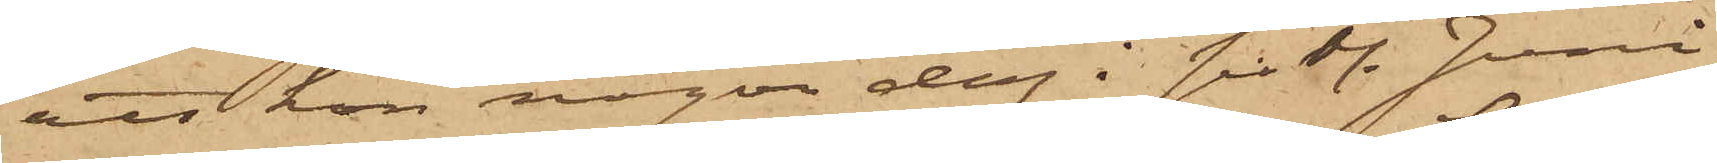att hon någon dag i sistl. Juni
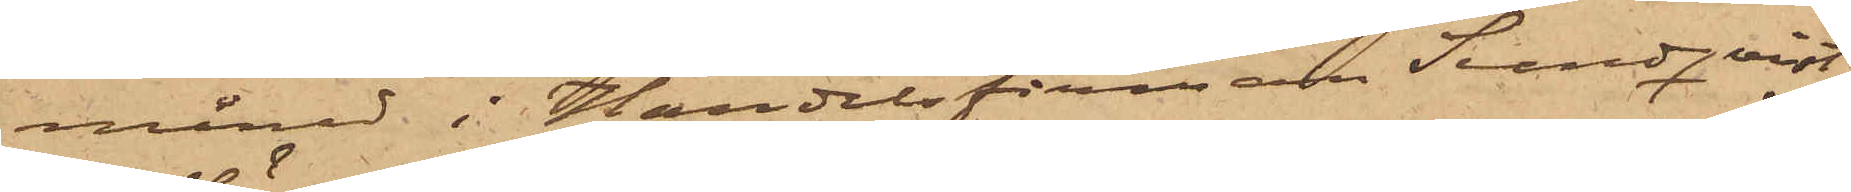månad i Handelsfirman Sundqvist
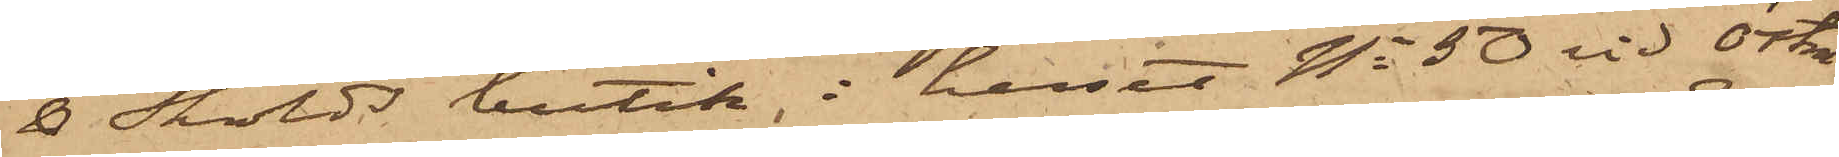& Skölds butik i huset No 50 vid Östra
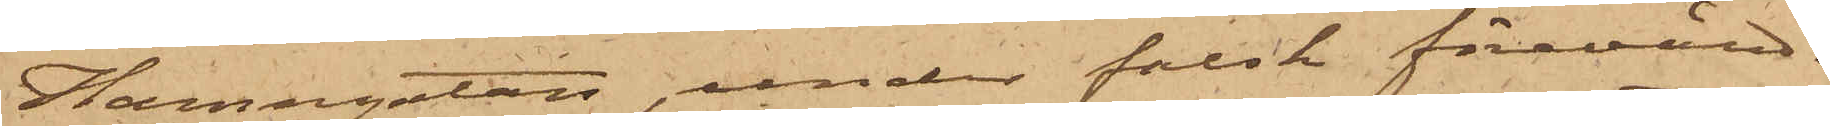Hamngatan, under falsk förevänd¬
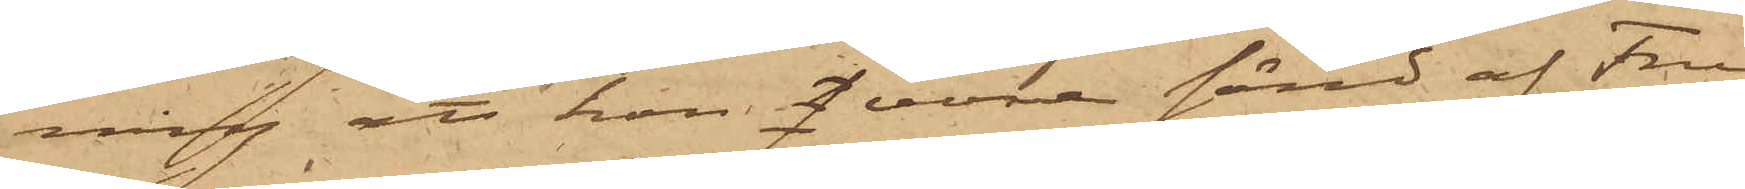ning att hon f vore sänd af Fru
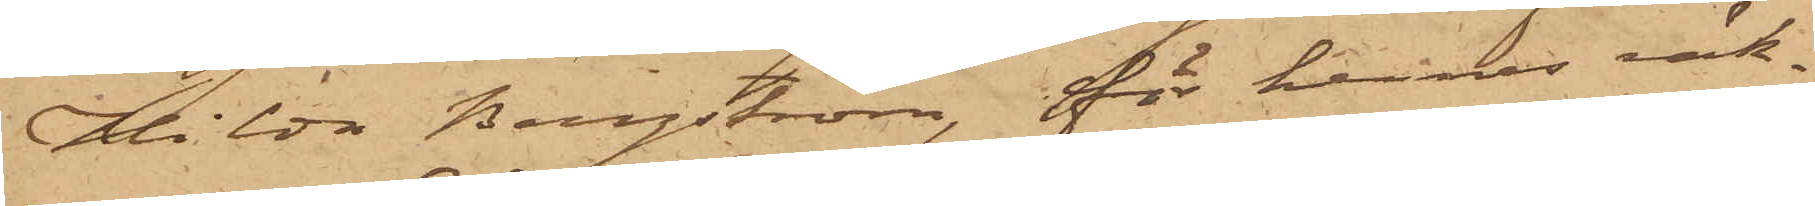Hilda Bergström, för hennes räk¬
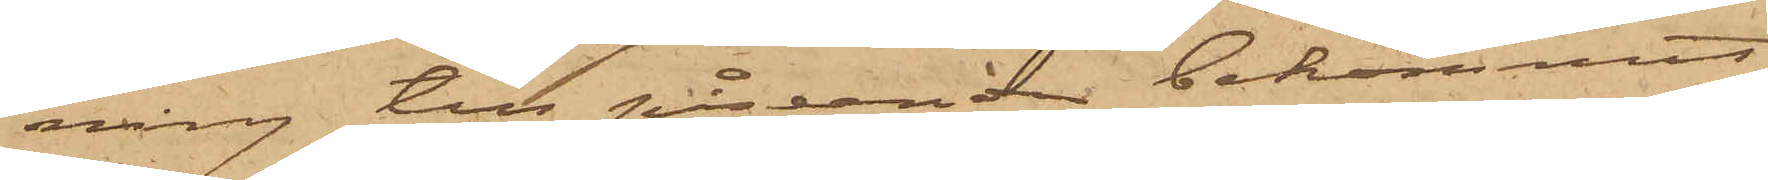ning till påseende bekommit
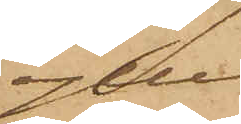ylle¬
